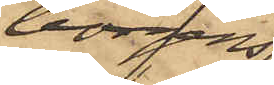borgens¬
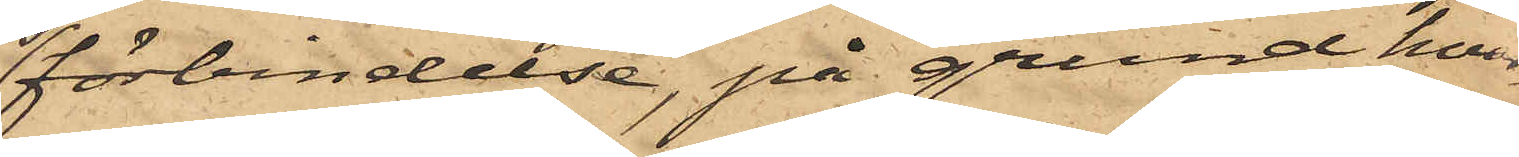förbindelse, på grund hvar¬
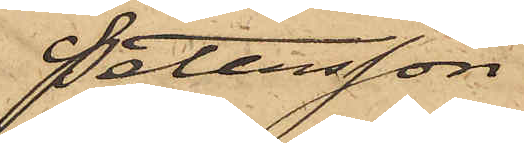Petersson
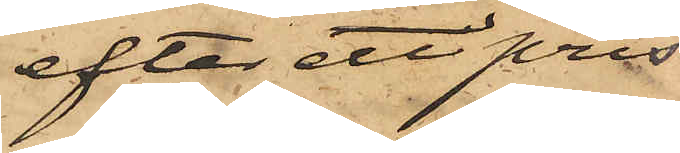efter ett pris
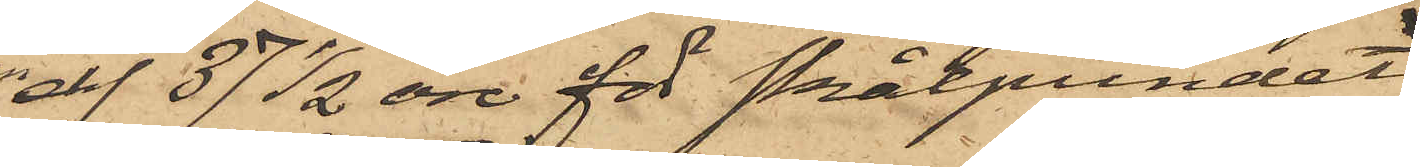af 37 1/2 öre för skålpundet
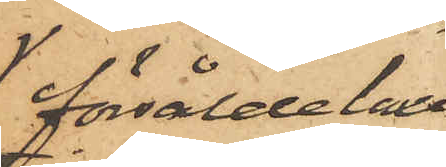försålde laxen
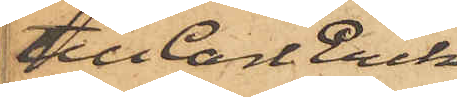till Carl Erik
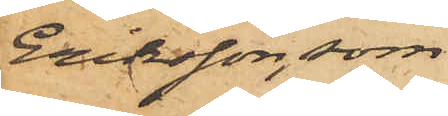Eriksson, som
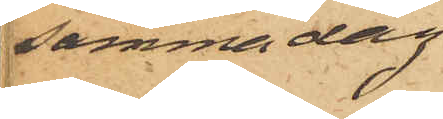samma dag
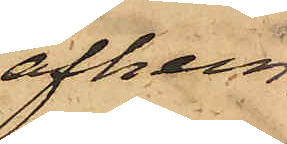afhem¬
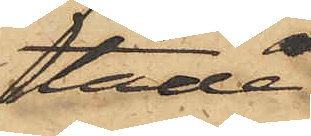tade
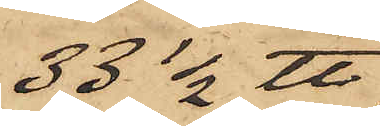33 1/2 ℔
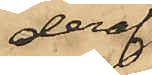deraf
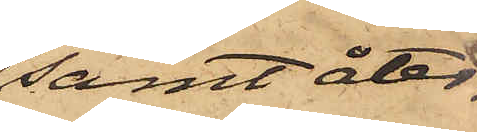samt åter¬
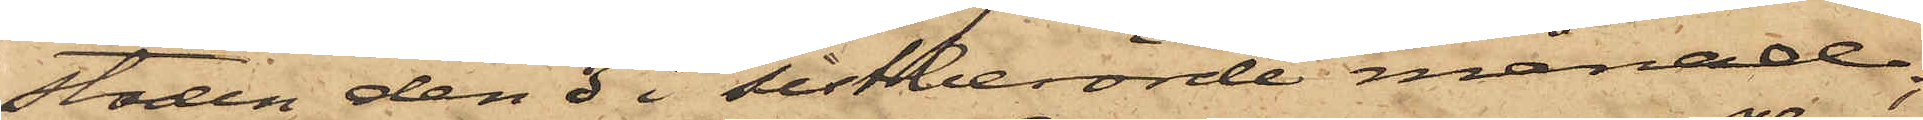stoden den 3 i sistberörde månad;
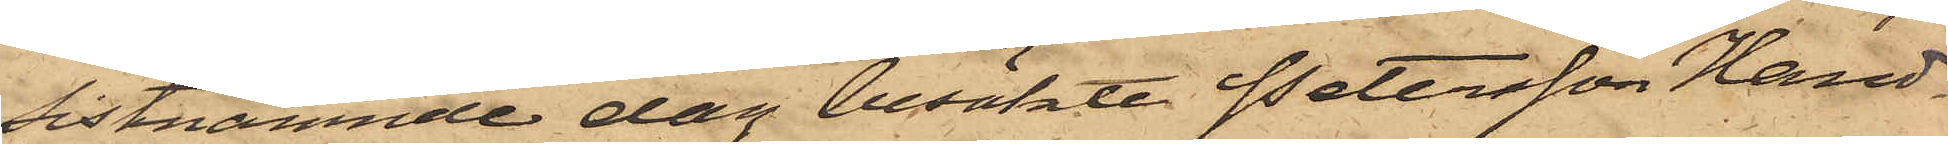Sistnämnde dag besökte Petersson Hand¬
